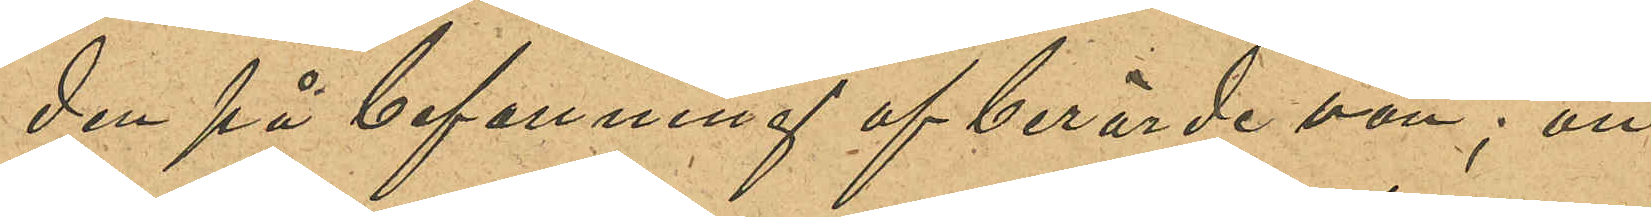den på befallning af berörde vän; att
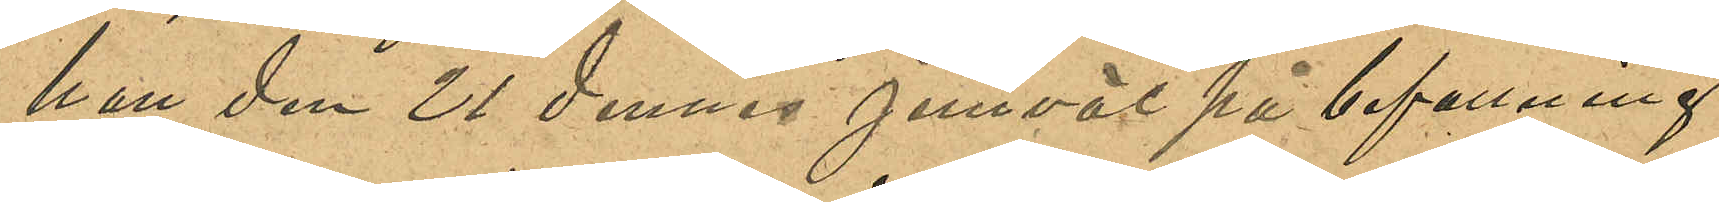han den 21 dennes jemväl på befallning
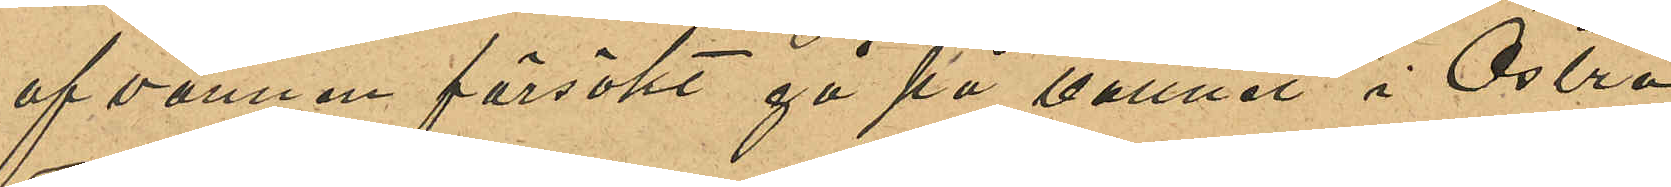af vännen försökt gå på vattnet i Östra
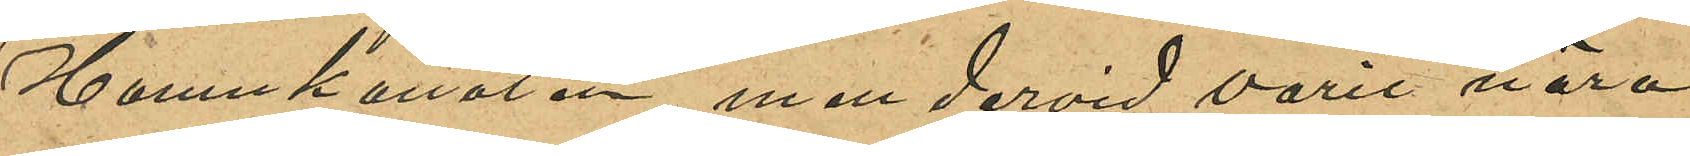Hamnkanalen, men dervid varit nära
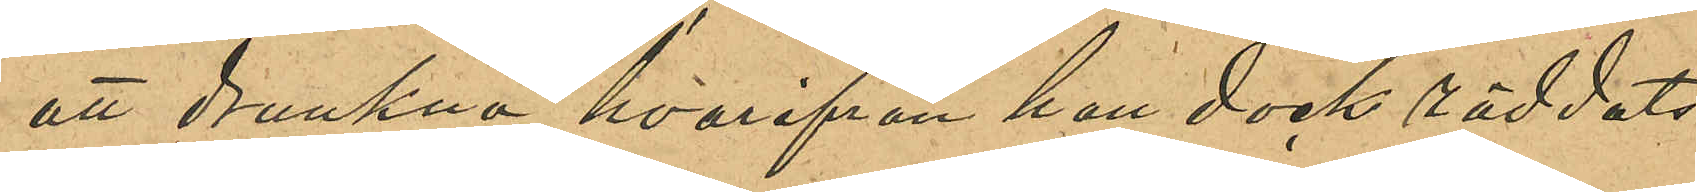att drunkna, hvarifrån han dock räddats
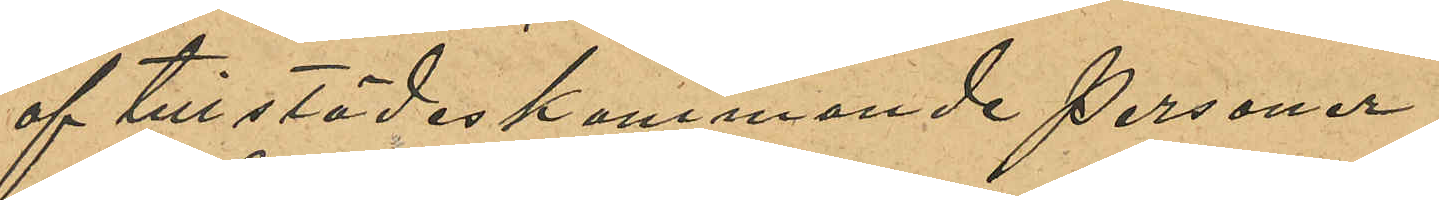af tillstädeskommande personer.
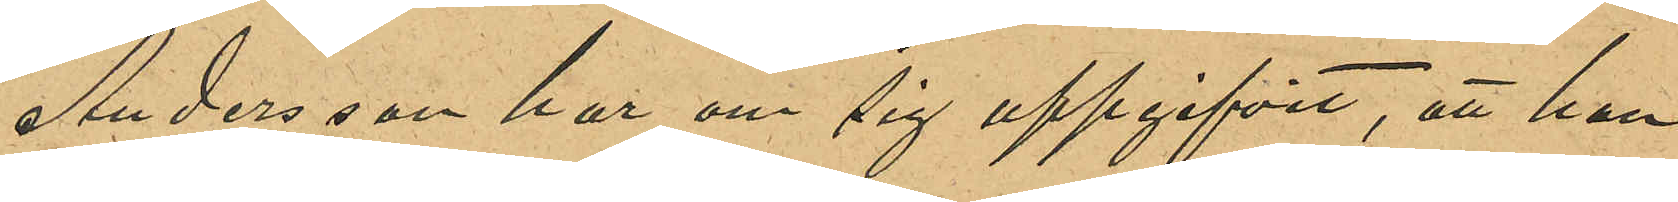Andersson har om sig uppgifvit, att han
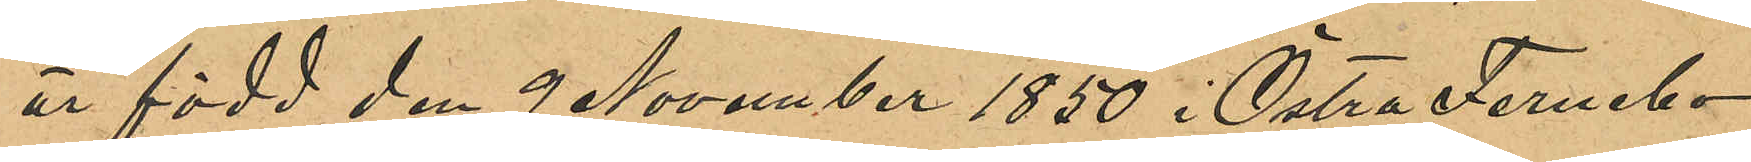är född den 9 November 1850 i Östra Fernebo
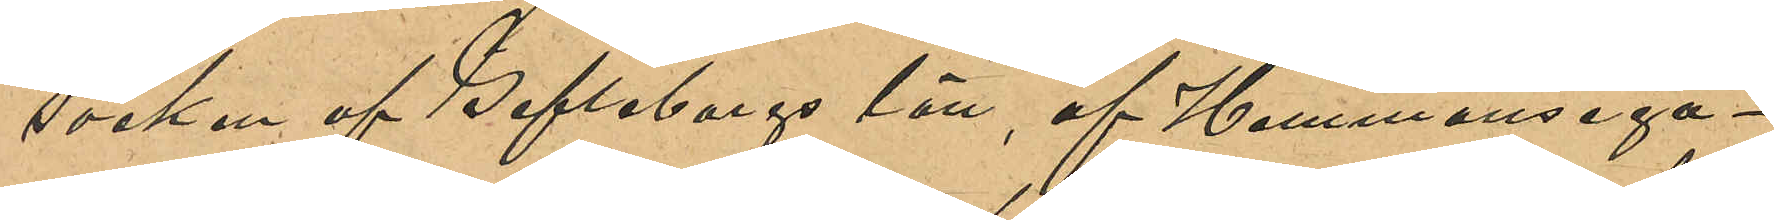socken af Gefleborgs län, af Hemmansega¬
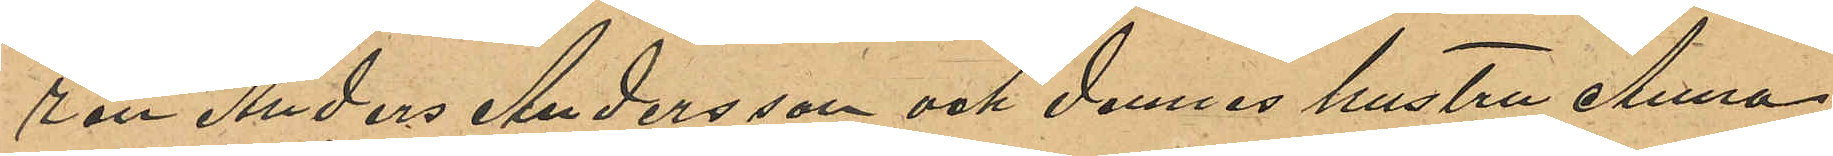ren Anders Andersson och dennes hustru Anna,
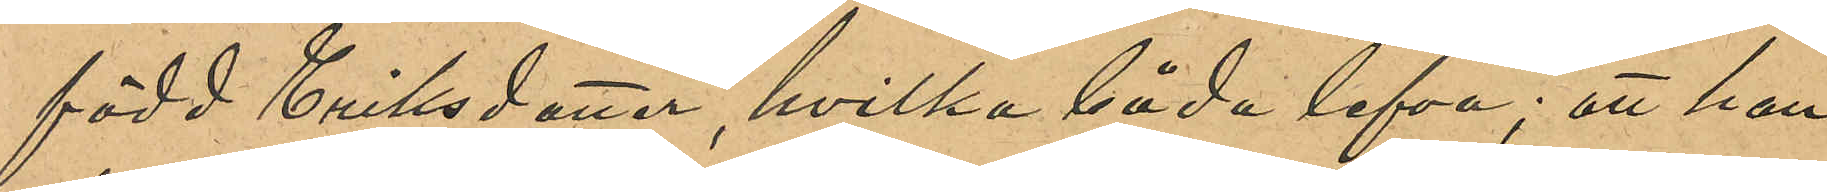född Eriksdotter, hvilka båda lefva; att han
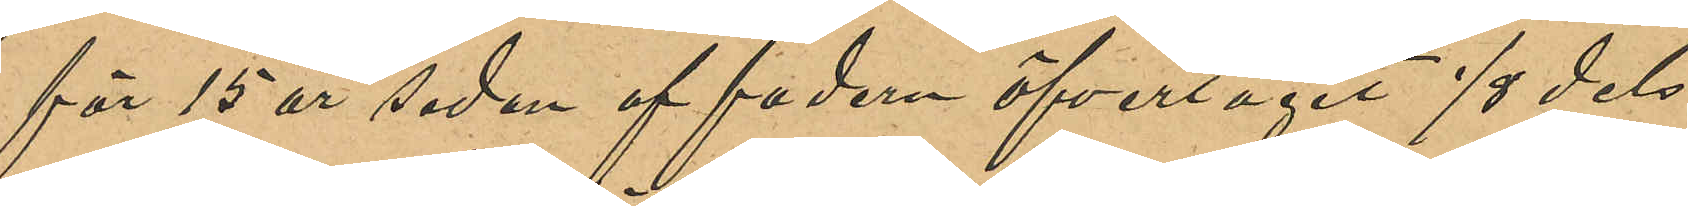för 15 år sedan af fadern öfvertagit 1/8 dels
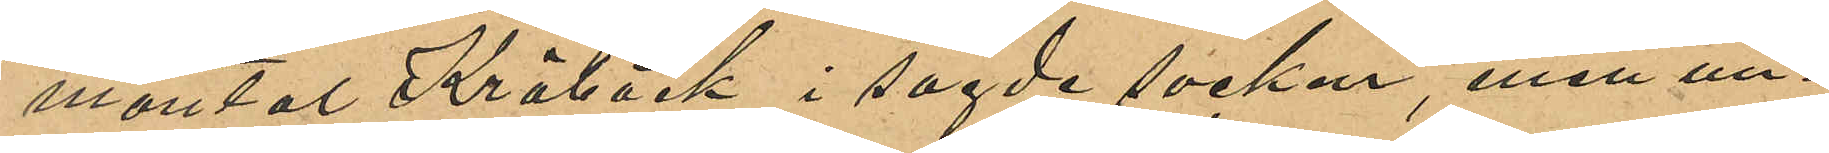mantal Kråbäck i sagde socken, men un¬
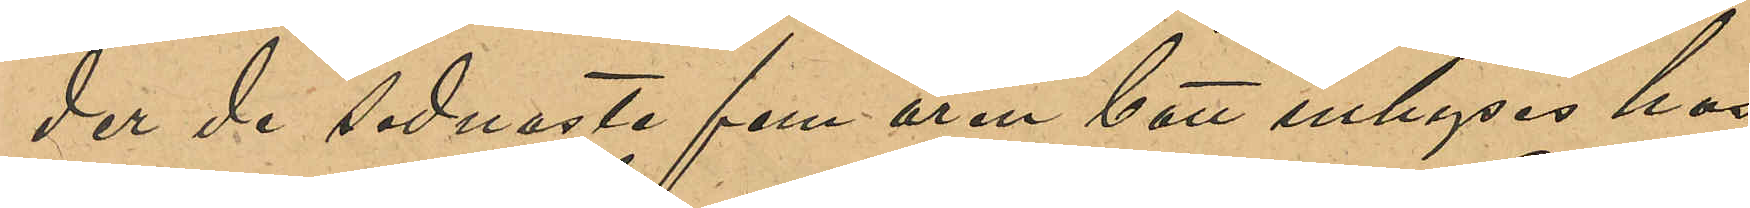der de senaste fem åren bott inhyses hos
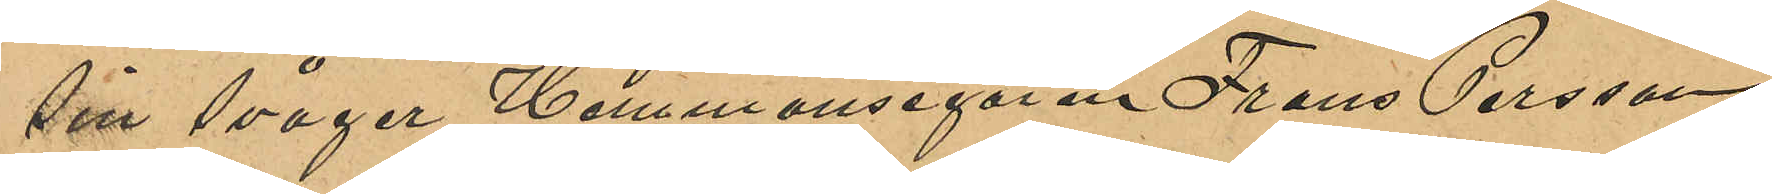sin svåger Hemmansegaren Frans Persson
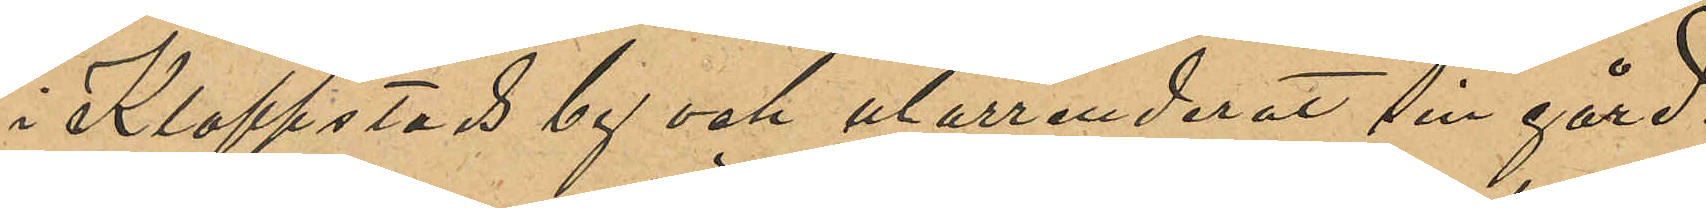i Klappstads by och utarrenderat sin gård.
